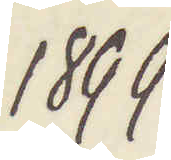1899
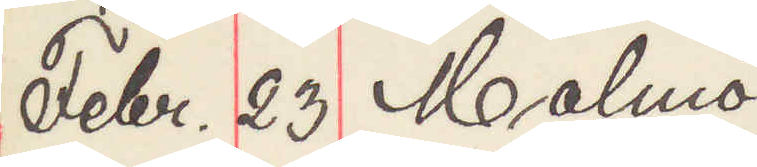Febr 23 Malmö
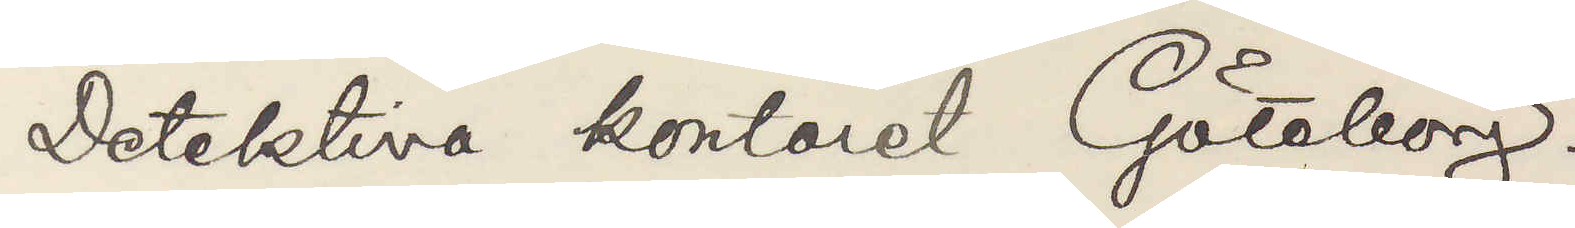Detektiva kontoret Göteborg
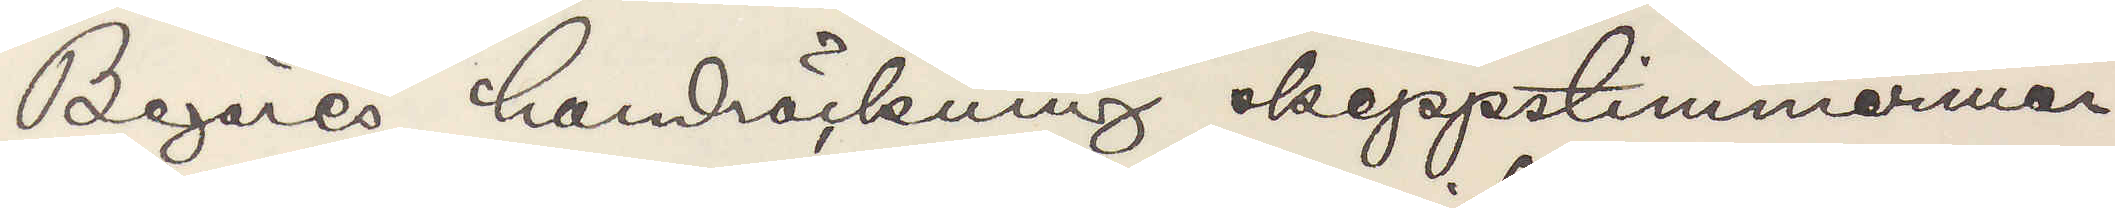Begäres handräckning skeppstimmermannen
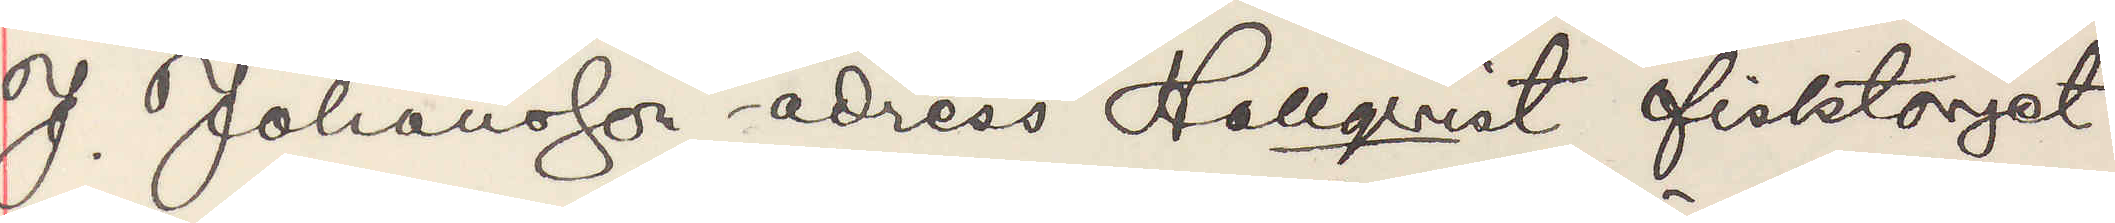J Johansson adress Hallqvist fisktorget
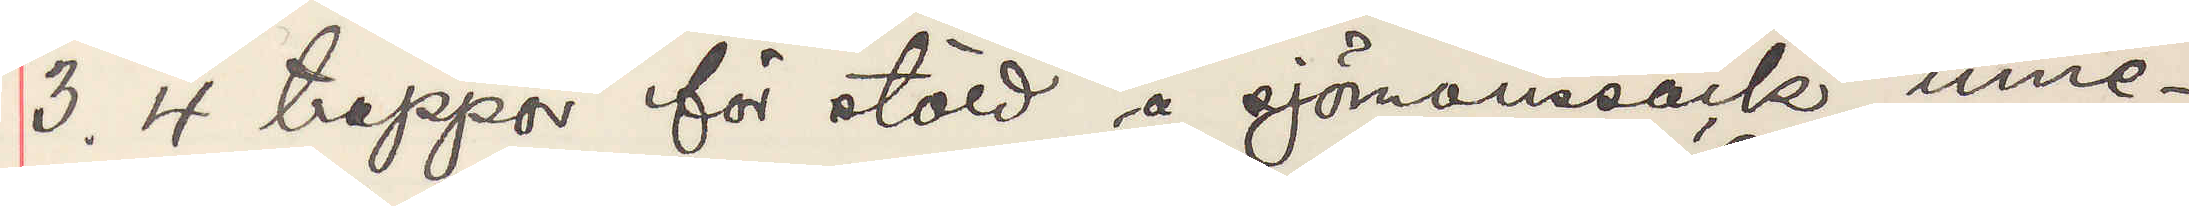3 4 trappor för stöld å sjömanssäck inne¬
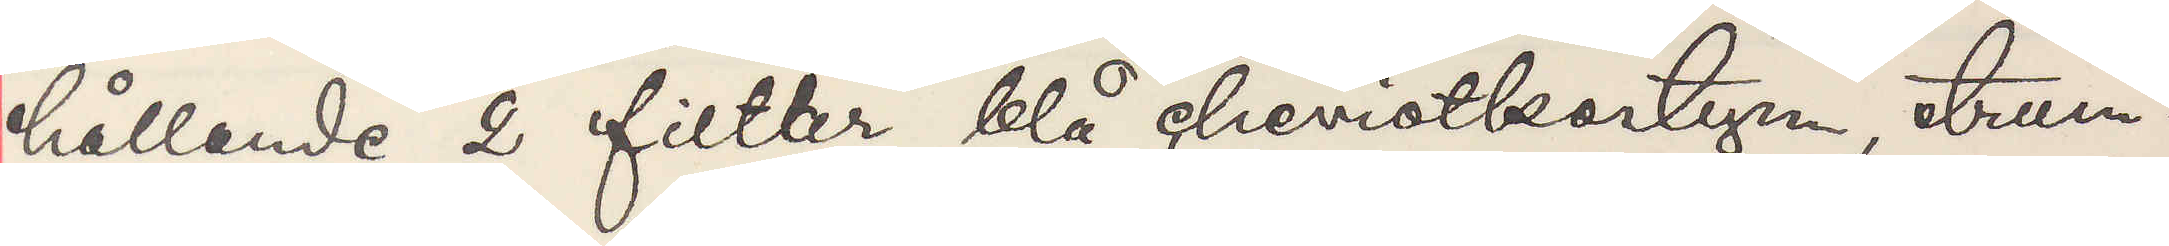hållande 2 filter blå cheviotkostym strum¬
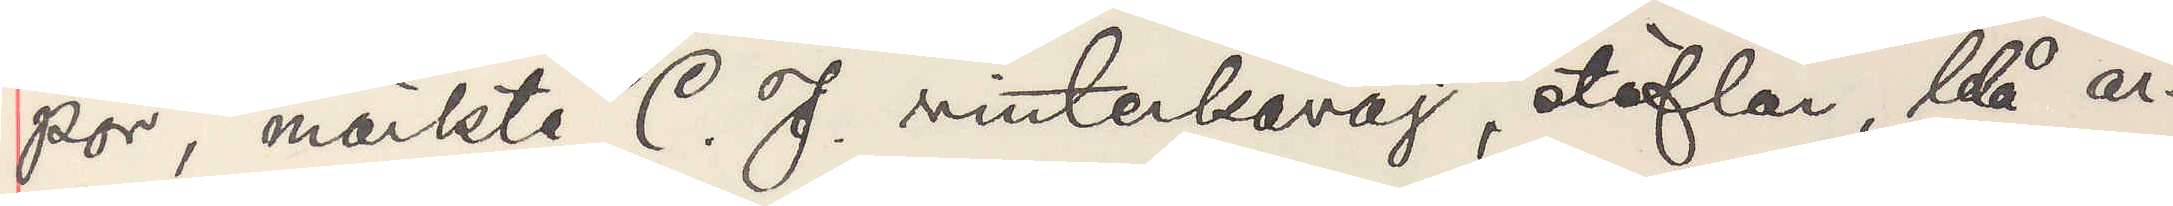por märkte C J vinterkavaj stöflar blå ar¬
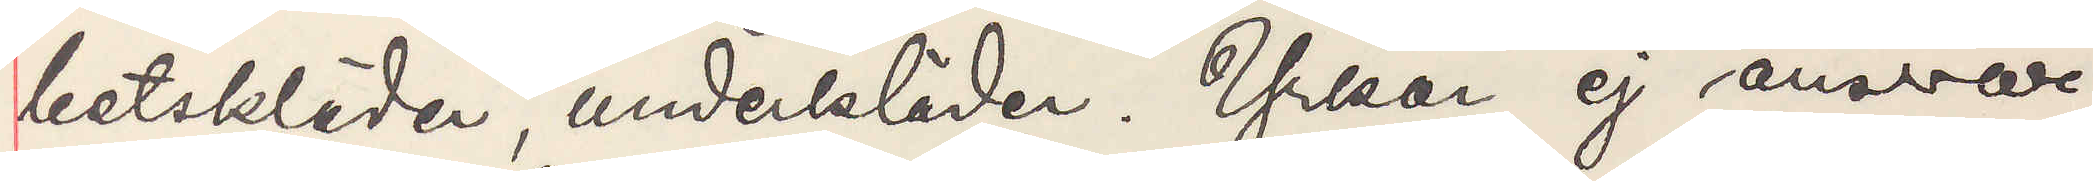betskläder underklädes Yrkar ej ansvar
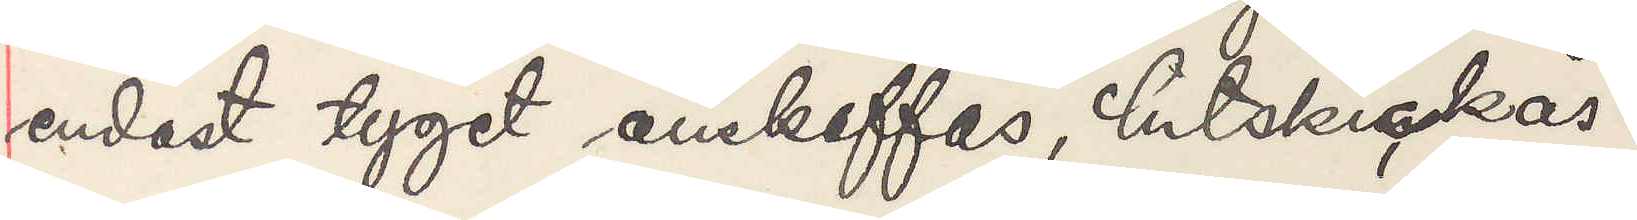endast tyget anskaffas hitskickas
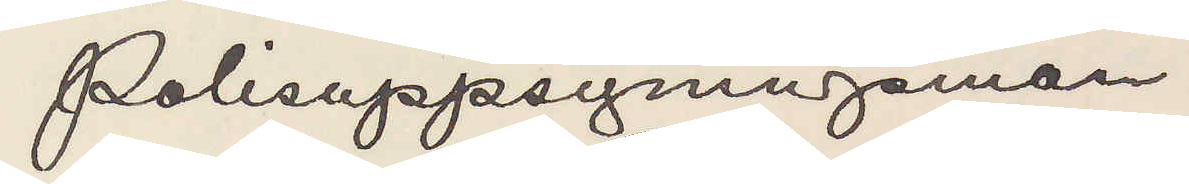Polisuppsyningsman
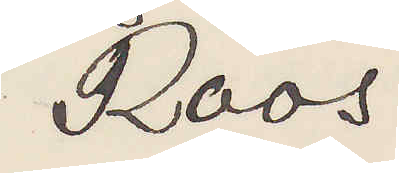Roos
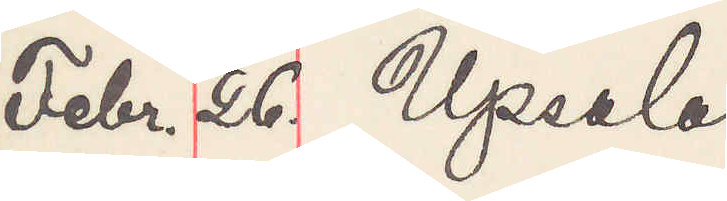Febr. 26 Upsala
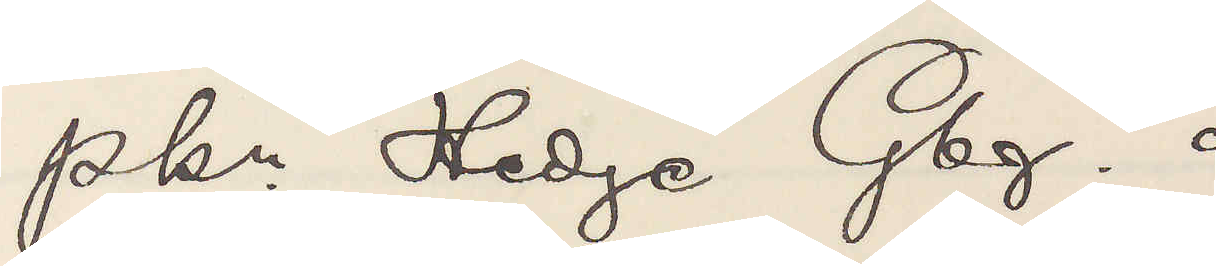Pkn Hedge Gbg.
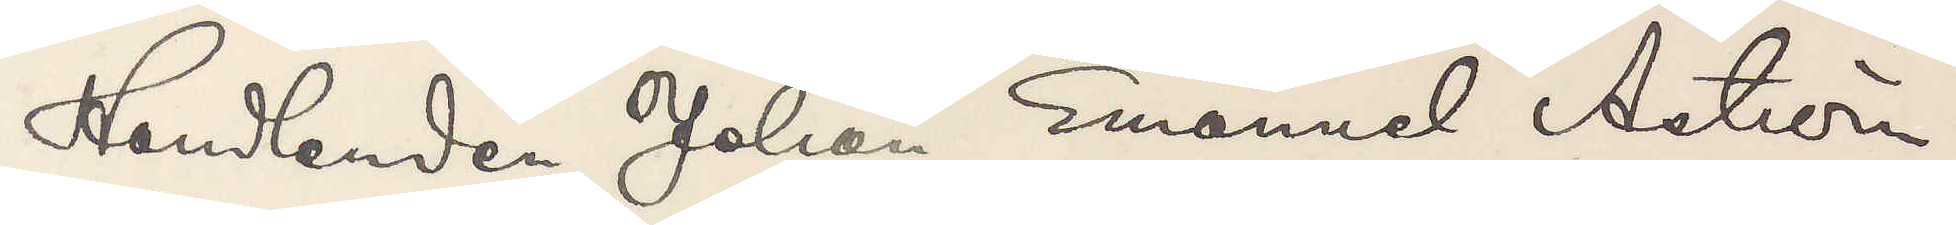Handlanden Johan Emanuel Åström,
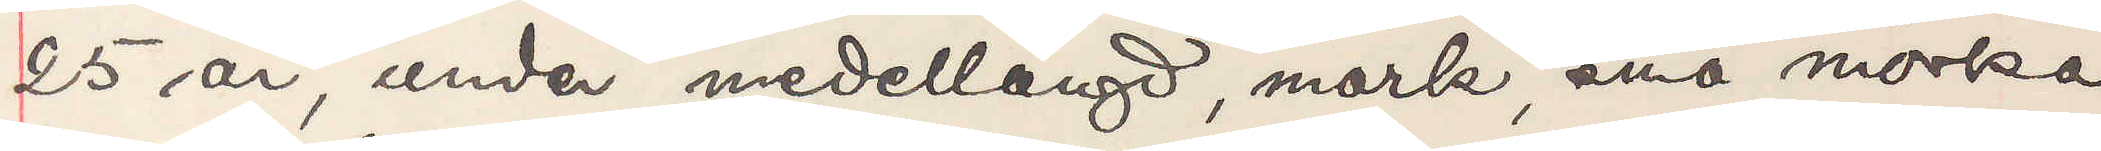25 år, under meddellängd, mörk, små mörka
